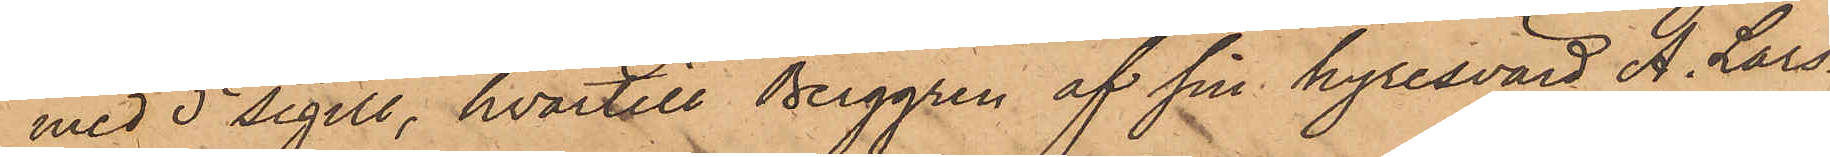med 5 sigill, hvartill Berggren af sin hyresvärd A. Lars¬
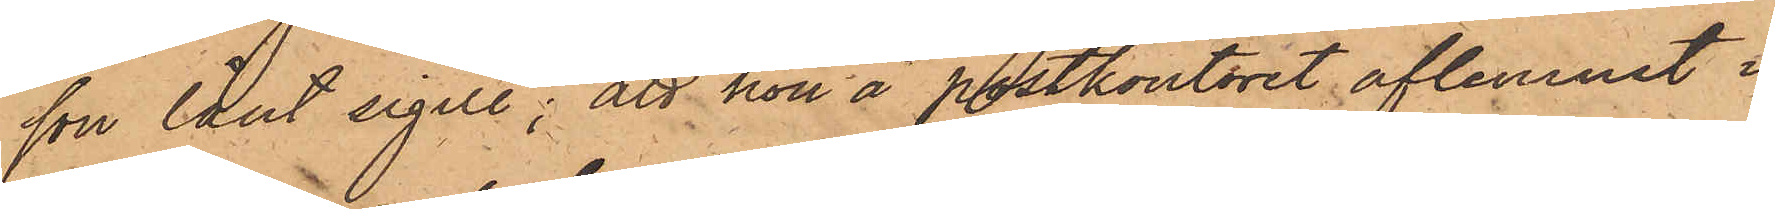son lånt sigill; att hon å postkontoret aflemnat i¬
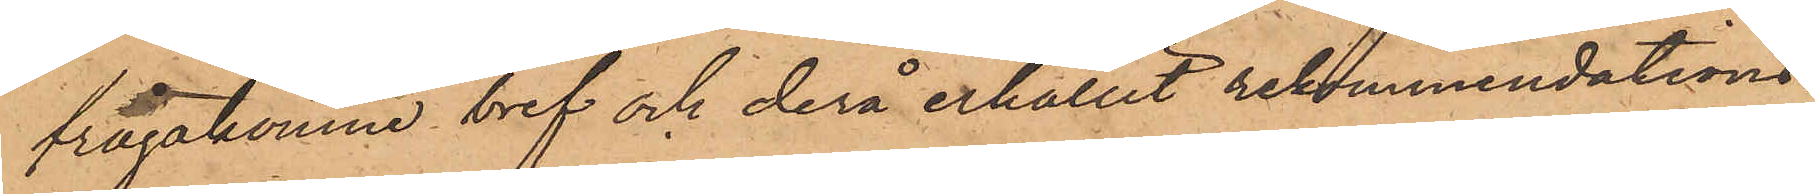frågakomne bref och derå erhållit rekommendations¬
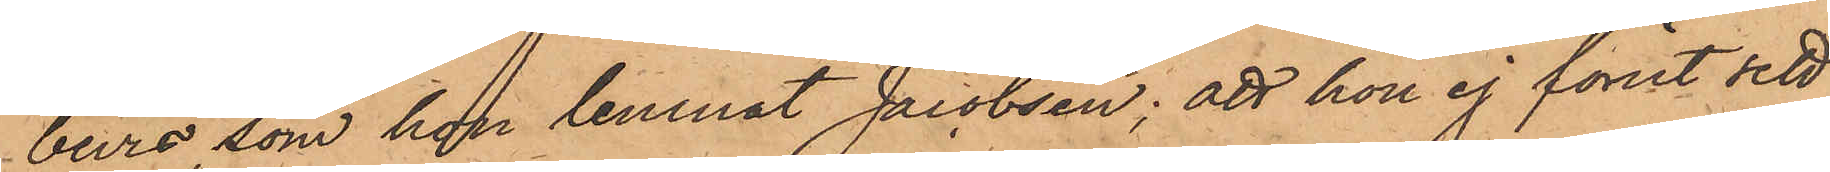bevis, som hon lemnat Jacobsen; att hon ej förut sett
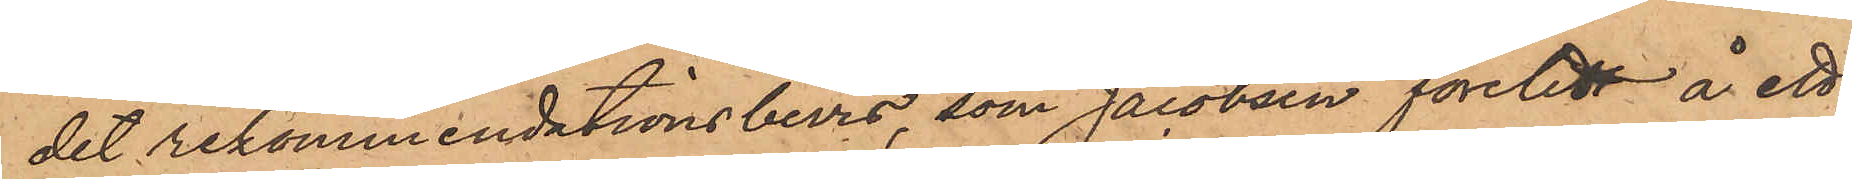det rekommendationsbevis, som Jacobsen företedt å ett
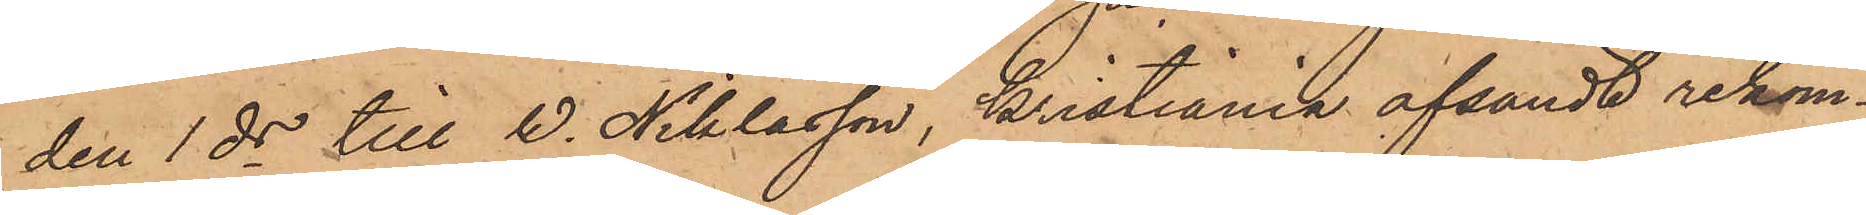den 1 ds till W. Niklasson, Kristiania afsändt rekom¬
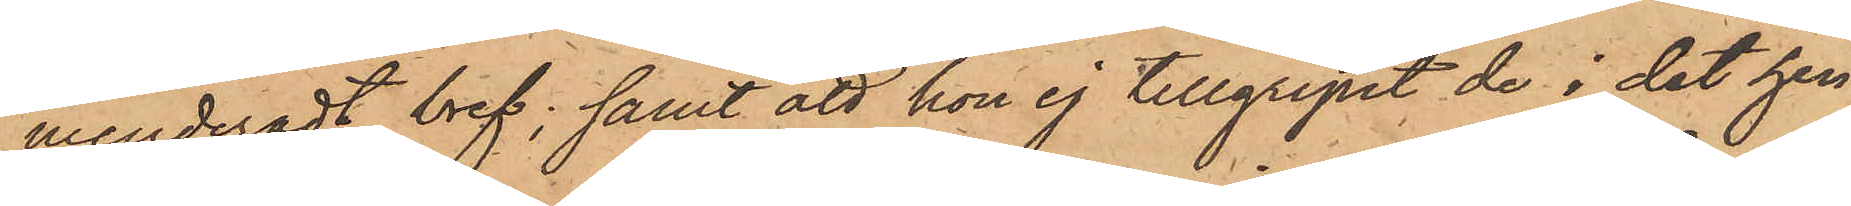menderadt bref; samt att hon ej tillgripit de i det hen¬
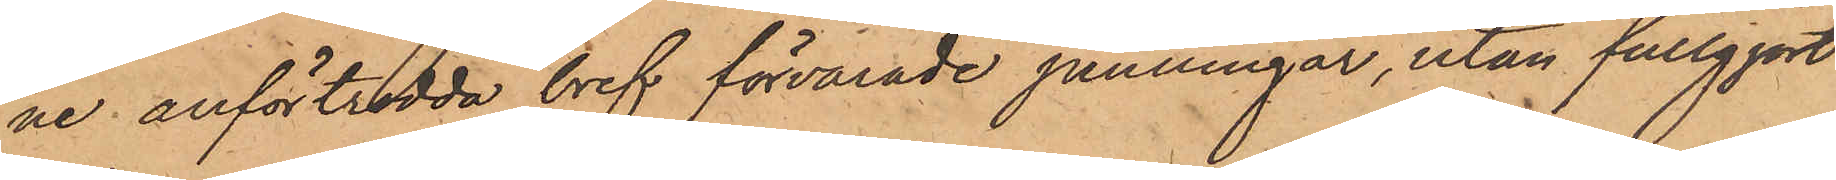ne anförtrodda bref förvarade penningar, utan fullgjort
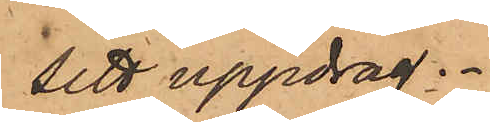sitt uppdrag.
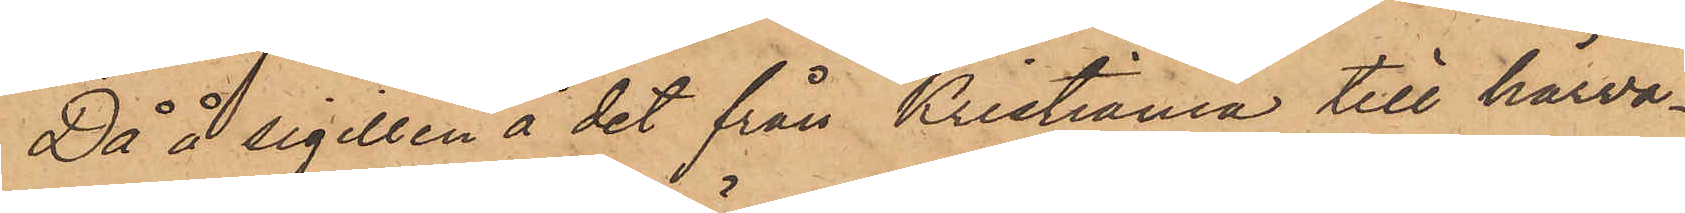Då å sigillen å det från Kristiania till härva¬
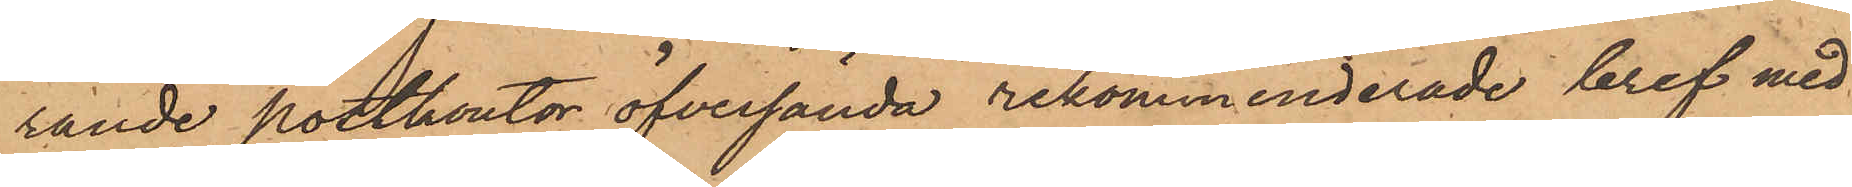rande postkontor öfversända rekommenderade bref med
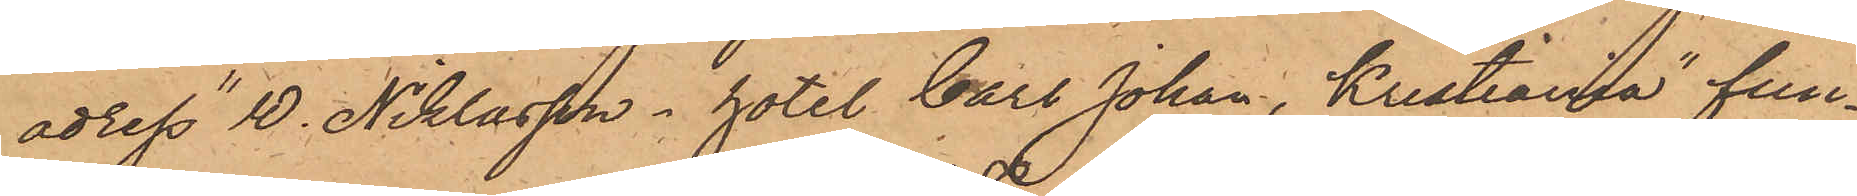adress "W. Niklasson, hotel Carl Johan, Kristiania" fun¬
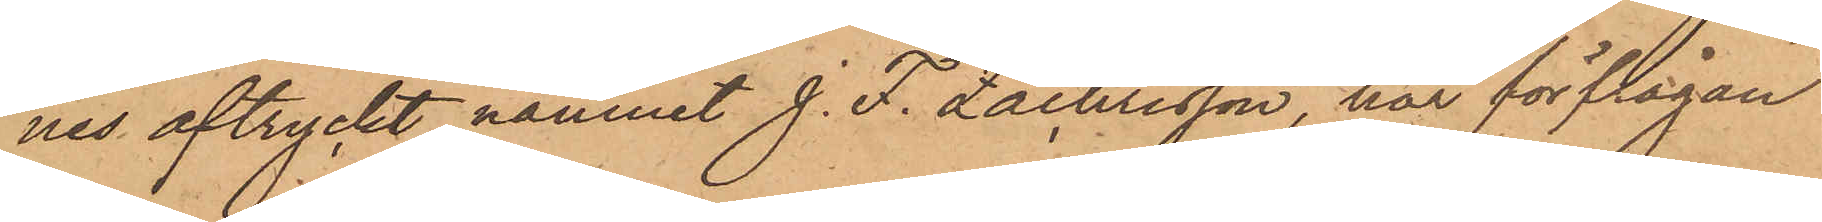nes aftryckt namnet J. F. Zachrisson, har förfrågan
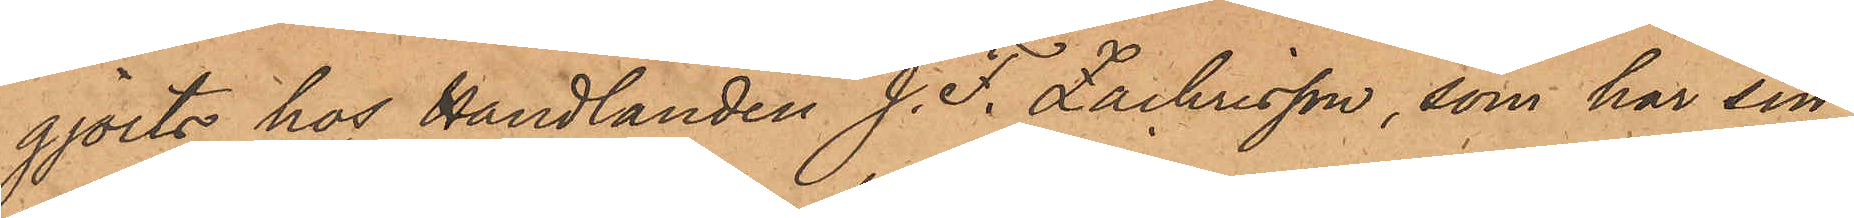gjorts hos Handlanden J. F. Zachrisson, som har sin
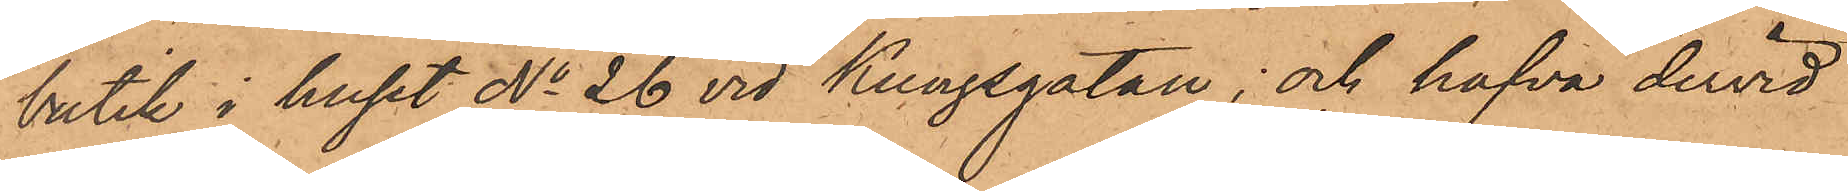butik i huset No 26 vid Kungsgatan; och hafva dervid
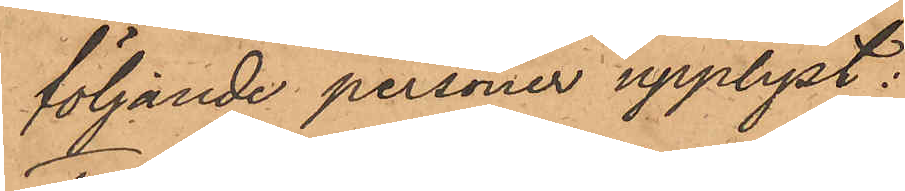följande personer upplyst:
